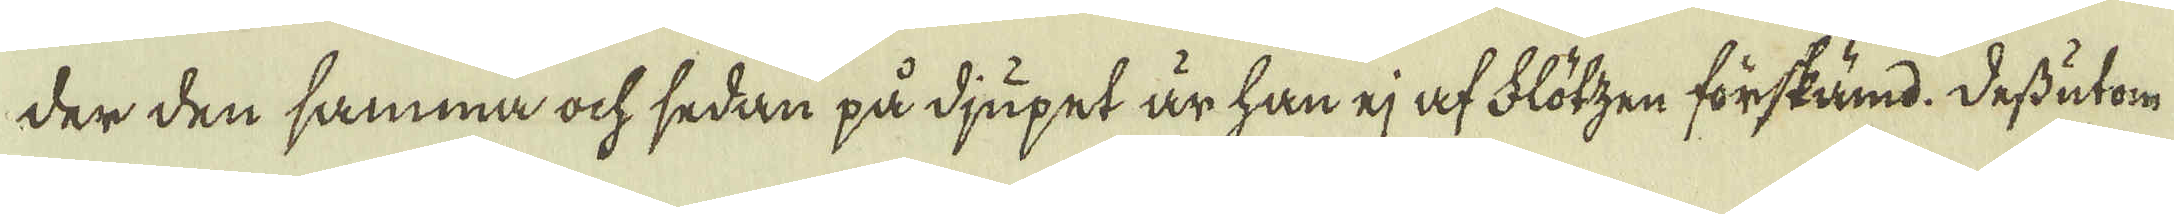der den samma ock sedan på djupet är han ej af Flötzen förskämd. Dessutom
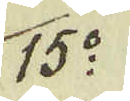15:o
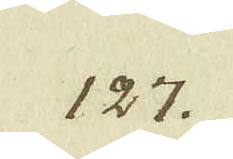127.
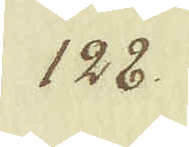128.
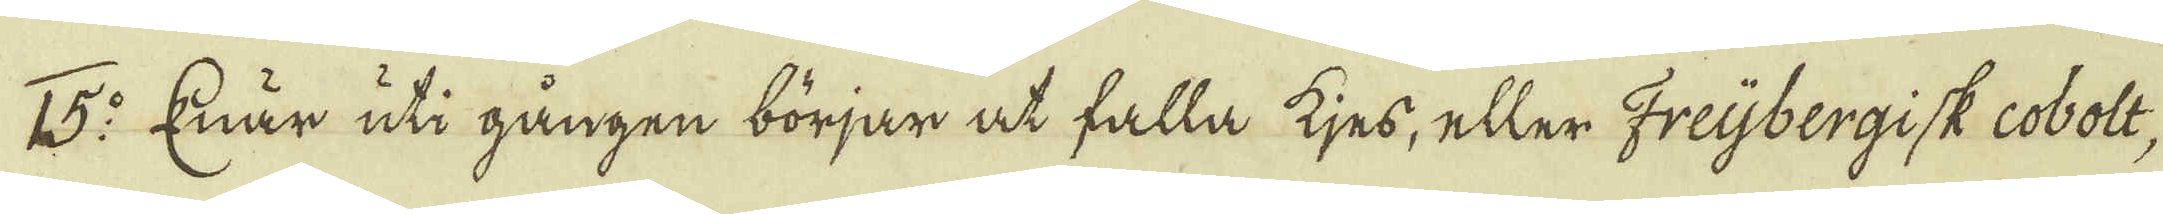15:o Enär uti gången börjar at falla kjes, eller Freijbergisk cobolt,
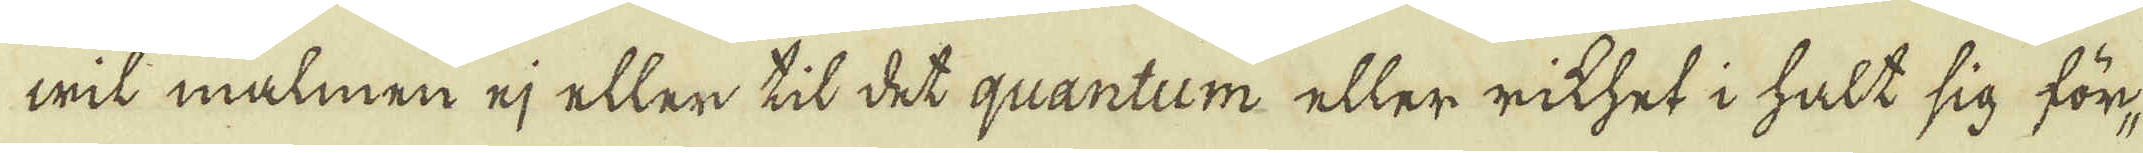wit malmen ej eller til det quantum eller rikhet i halt sig för-
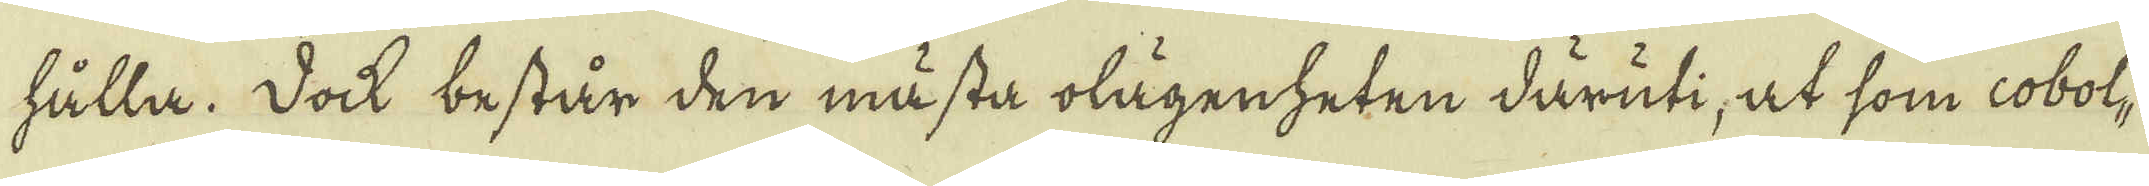hålla. Dock består den mästa olägenheten däruti, at som cobol-
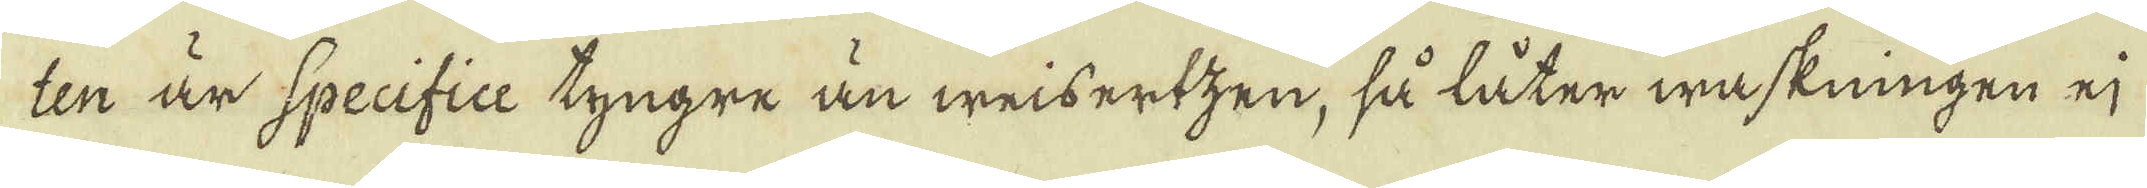ten är Specifice tyngre än weisertzen, så låter waskningen ej
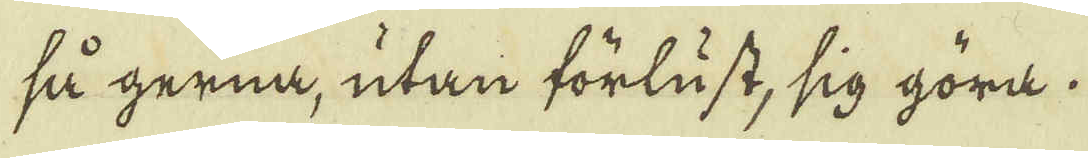så gerna, utan förlust, sig göra.
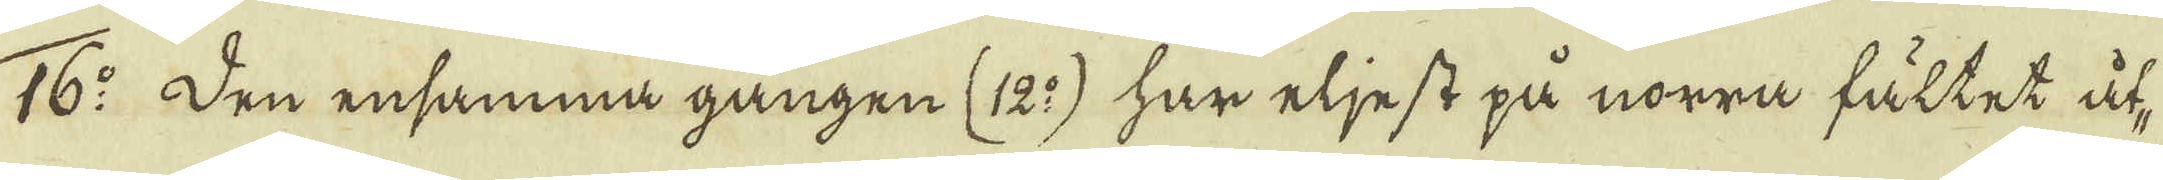16:o Den ensamma gången (12:o) har eljest på norra fältet åt-
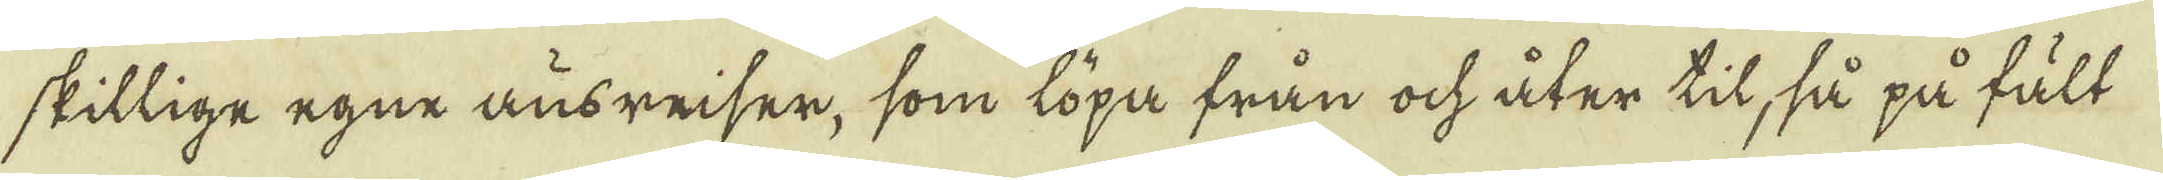skillige egne ausreiser, som löpa från ock åter til, så på fält
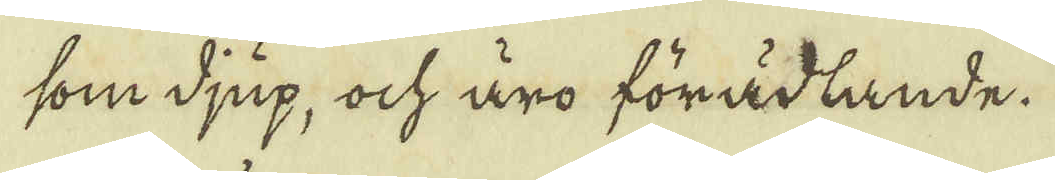som djup, ock äro förädlande.
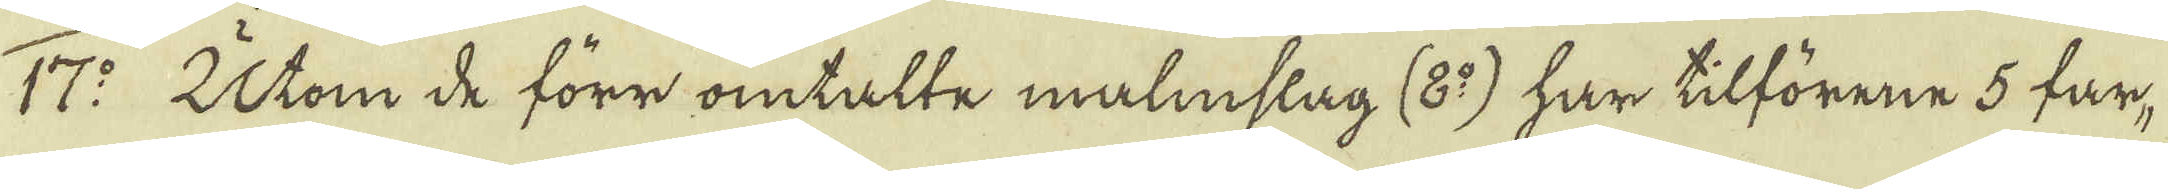17:o Utom de förr omtalte malmslag (8:o) har tilförene 5 far-
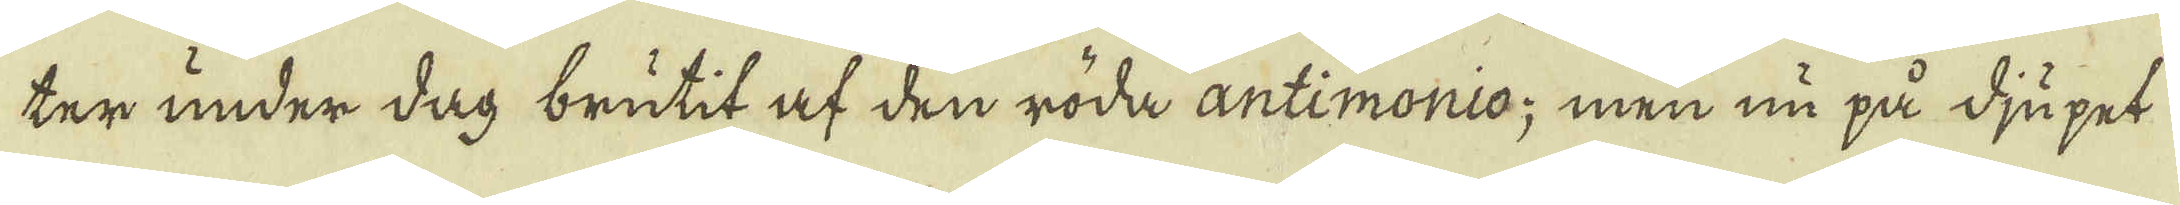ter under dag brutit af den röda antimonio; men nu på djupet
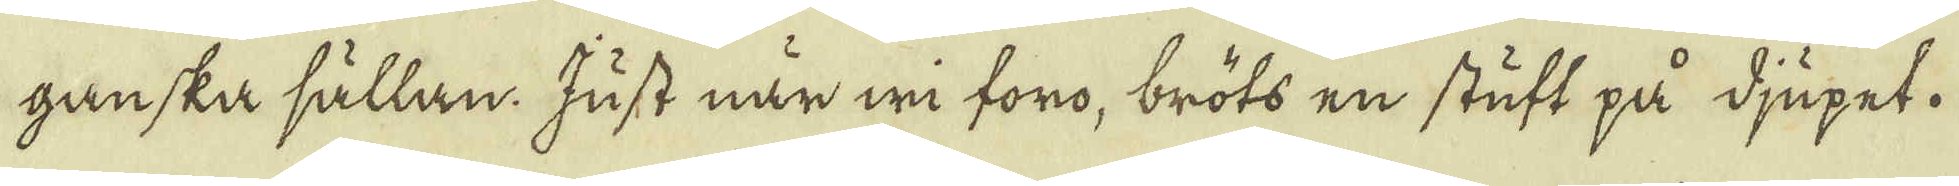ganska sällan. Just när wi föro, bröts en stuft på djupet.
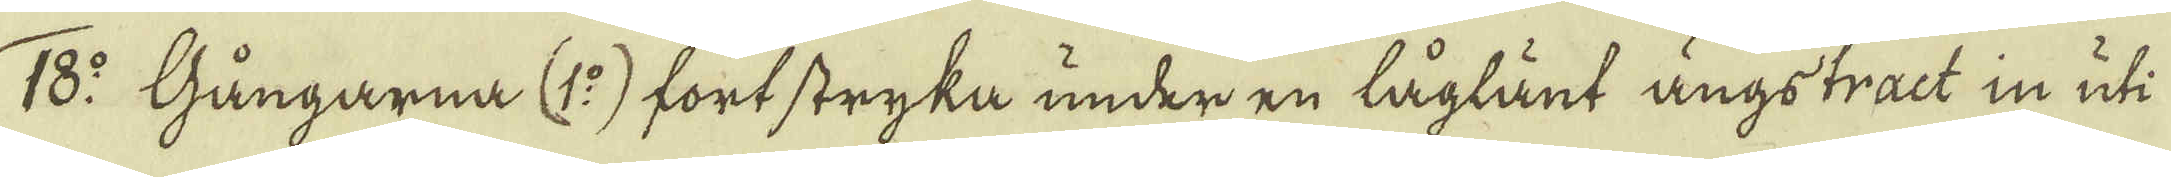18:o Gångarna (1:o) fortstryka under en låglänt ängstract in uti
